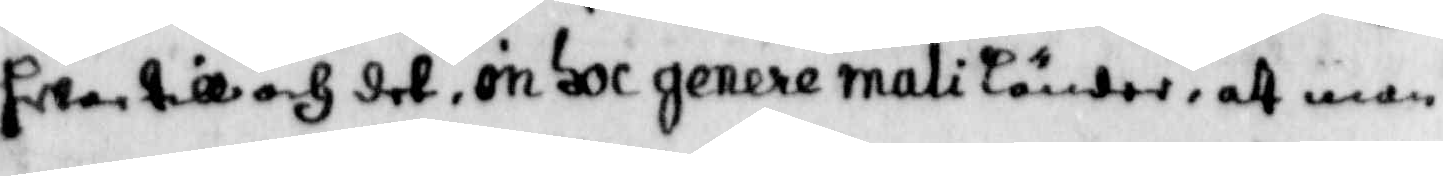hwar till och det, om oc genere mali länder, att man
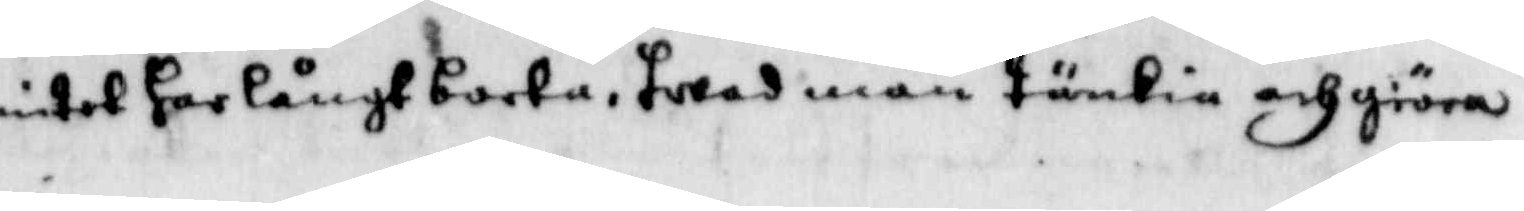intet har långt borta, hwad man tänkia och giöra
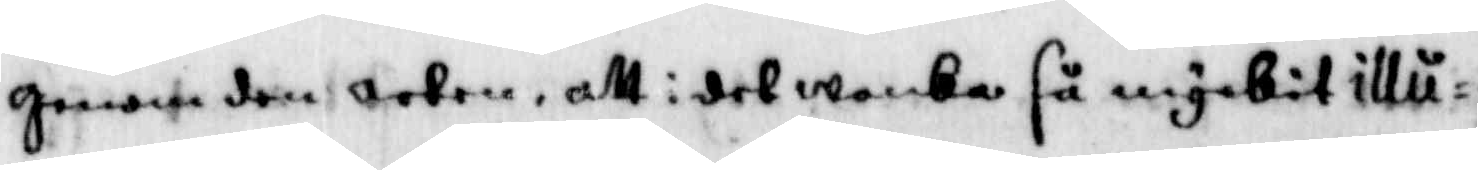genom den orten, att i det wanka så myckit illu¬
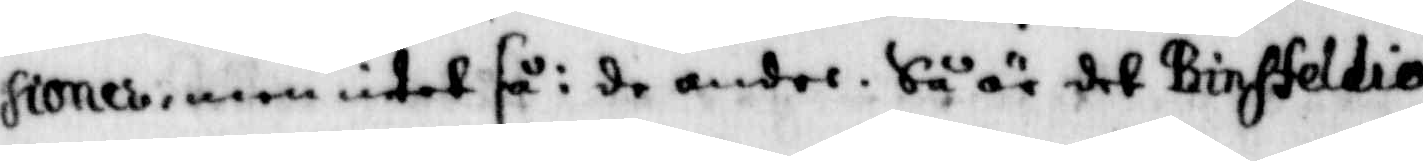sioner, men intet få i de andre, Så är det Binhfeldio
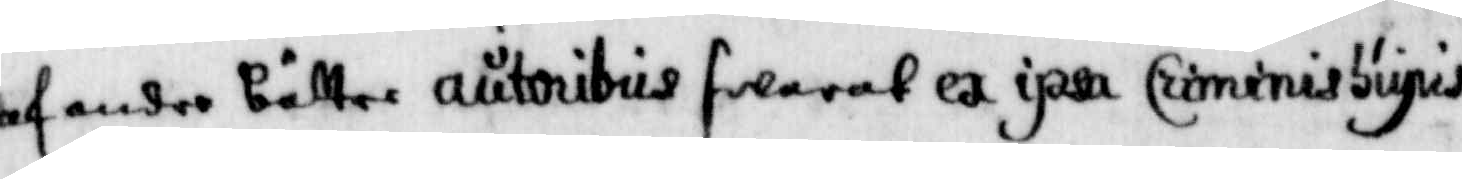af andre bättre autoribus swarat wx ipsa Criminissupis
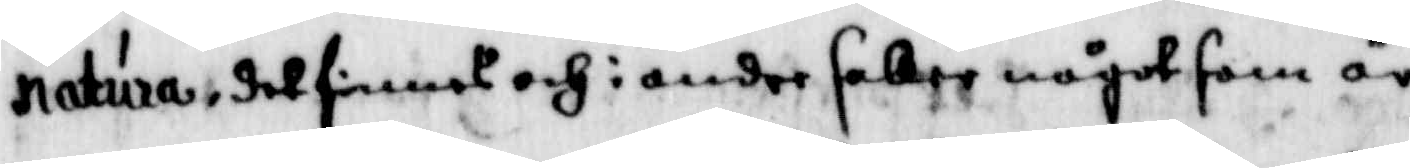natura, det finnes och i andre skaer något som är
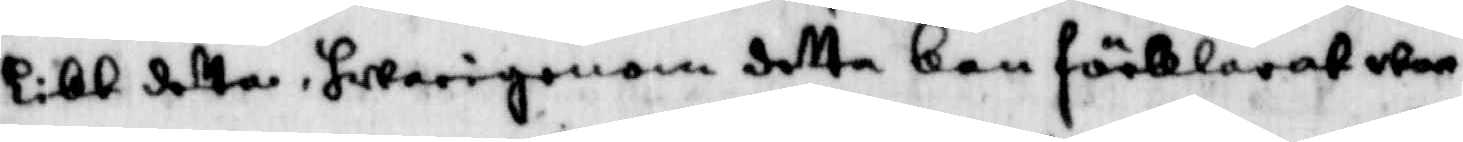likt detta, hwarigenom detta kan förklarat war¬
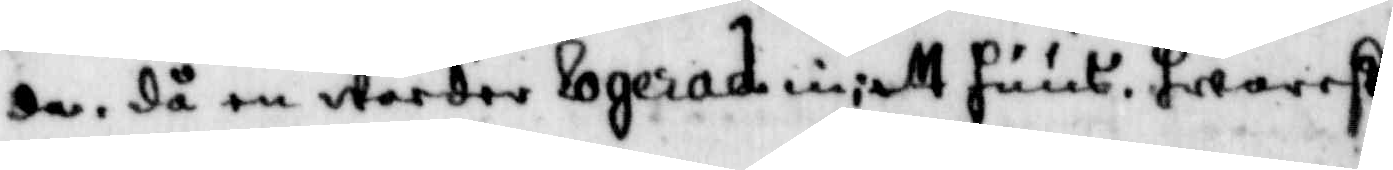da, då em warder logerad in i ett huus, hwarest
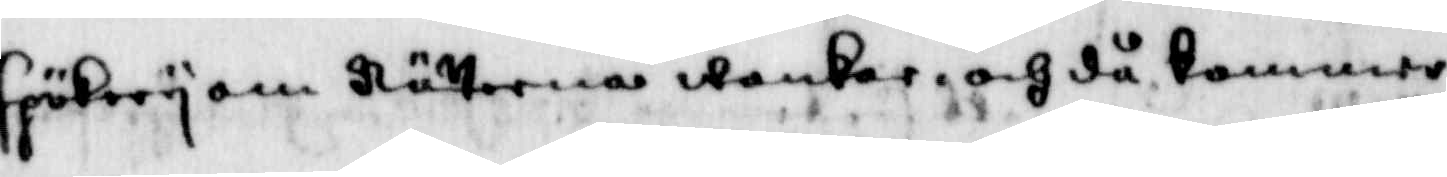spökery om Nätterna wankar, och då kommer
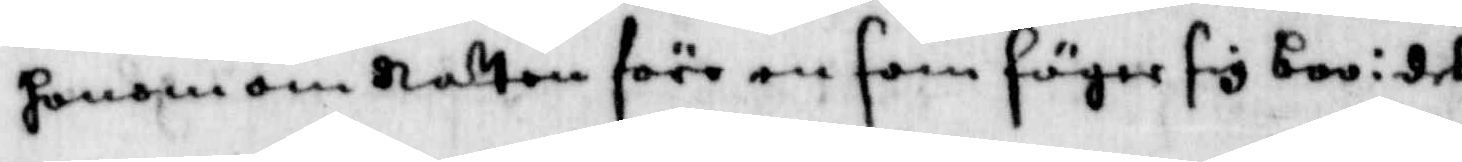honom om Natten före en som säger sig boo i det
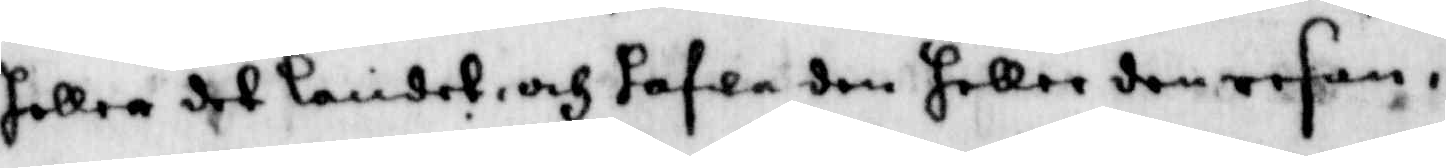heller det landet, och hafwa den heller den resan i
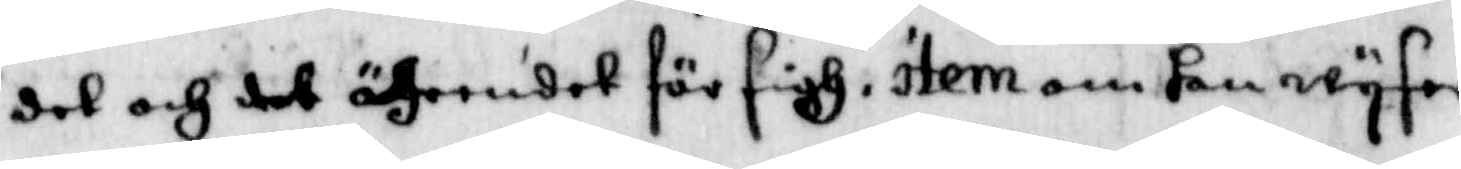det och det ährendet för sigh, item om han wyser
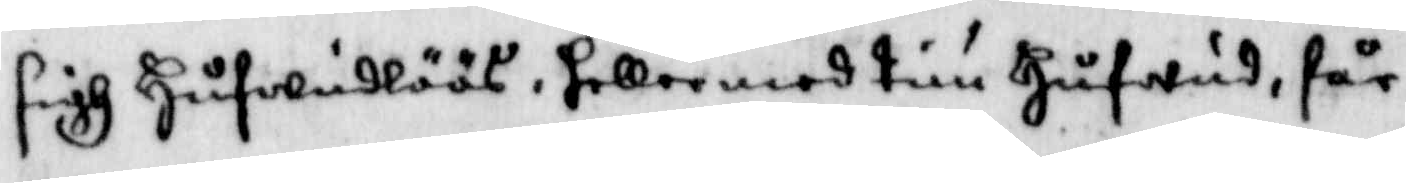sigh Hufwudlöös, heller med tuu Hufwud, får
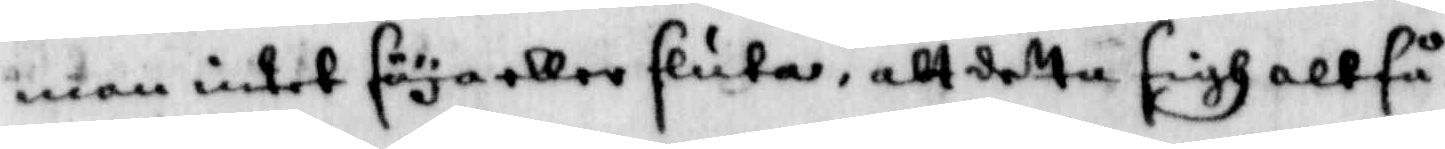man intet säya eller sluta, att detta sigh altså
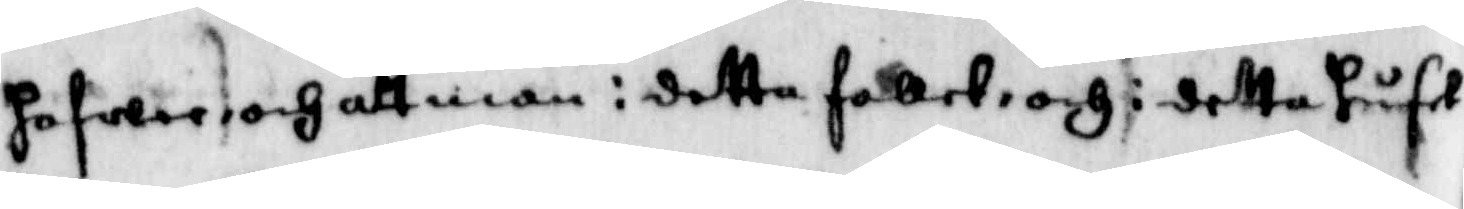hafwer, och att man i detta fallet och i detta huset
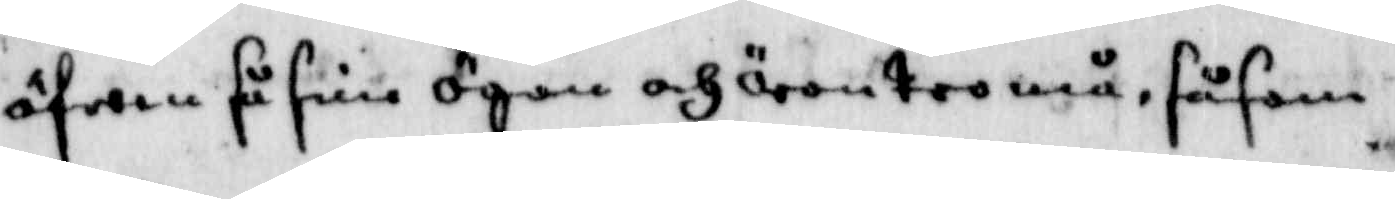äfwen få sine ögon och öron tro må, såsom
